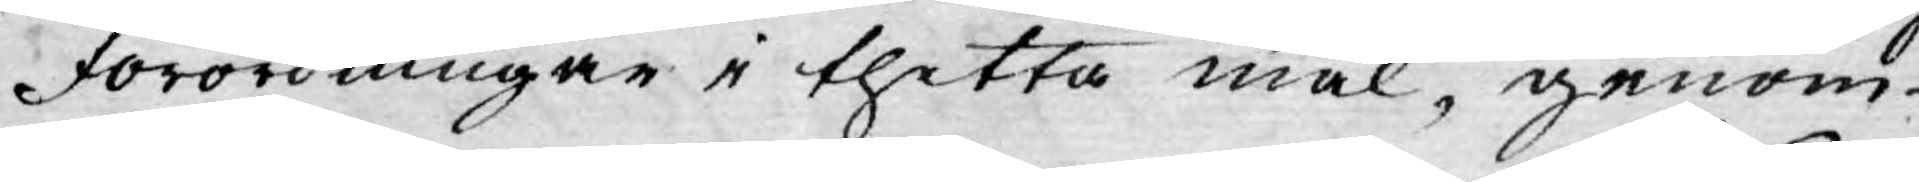Förordningar i thetta mål, genom
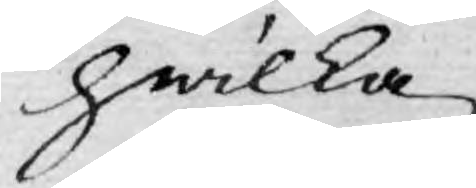hwilka
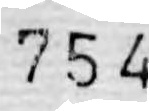754
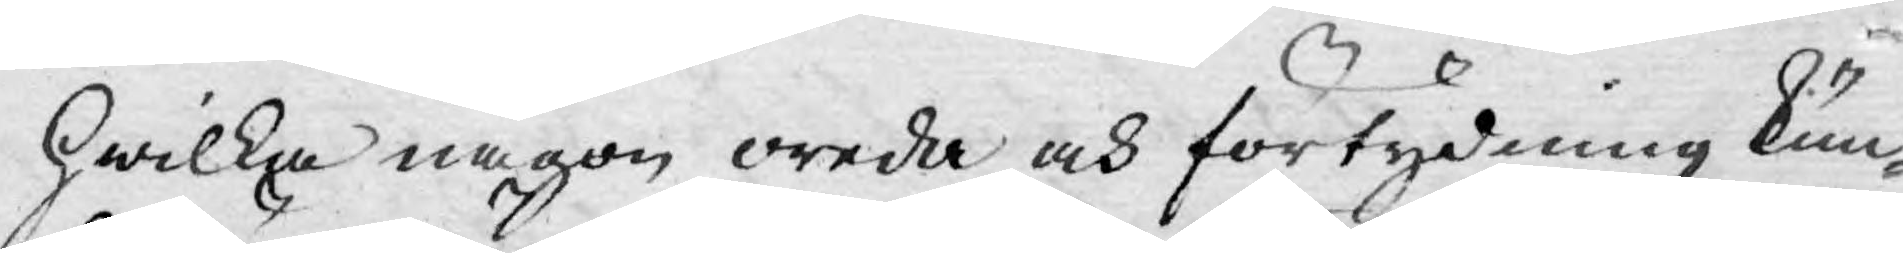hwilka någon oreda och förtydning kun-
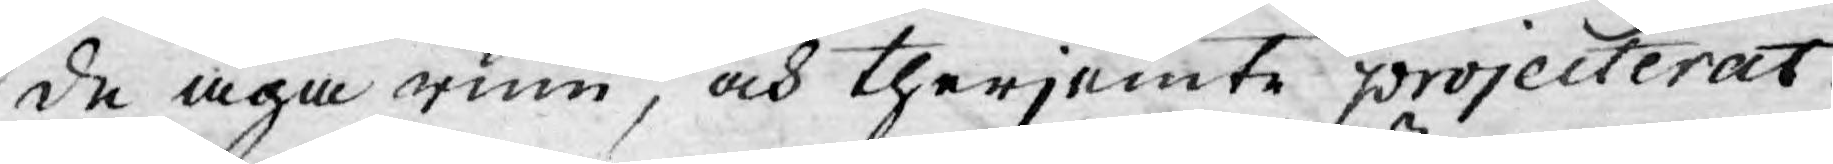de äga rum, och therjemte projecterat
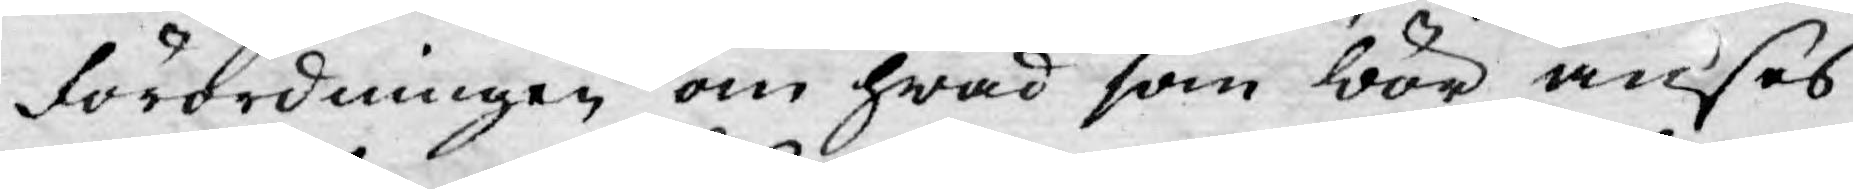förordningen om hwad som bör anses
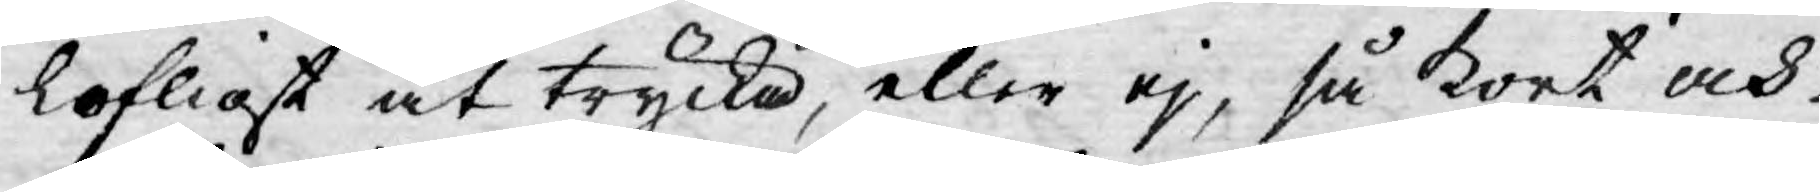lofligt at trycka, eller ej, så kort och
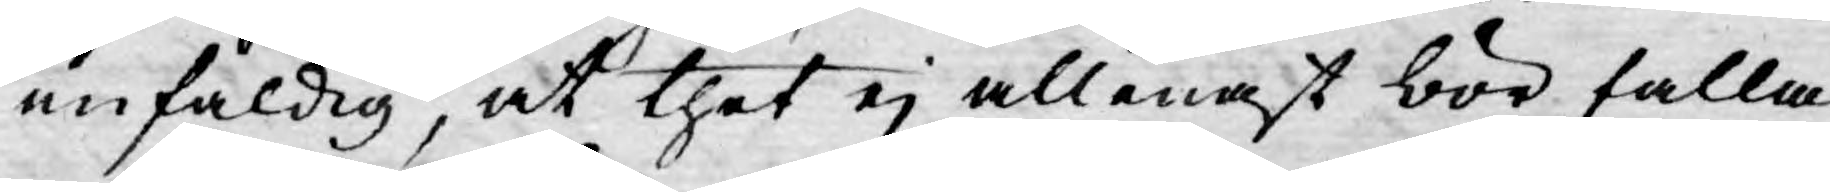enfaldig, at thet ej allenast bör falla
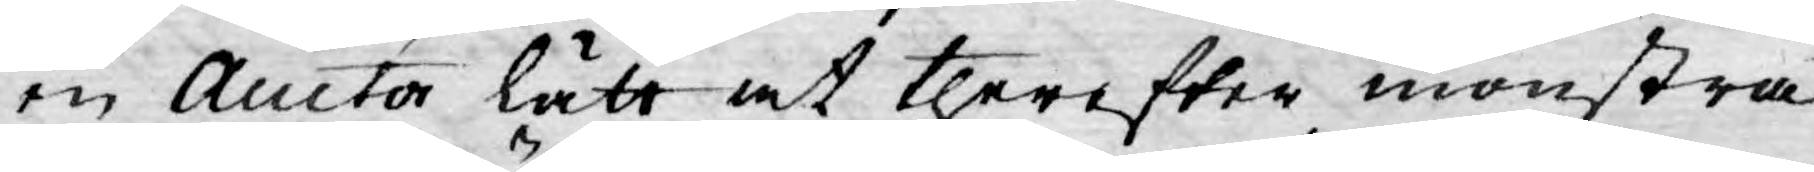en Auctor lätt at therefter mönstra
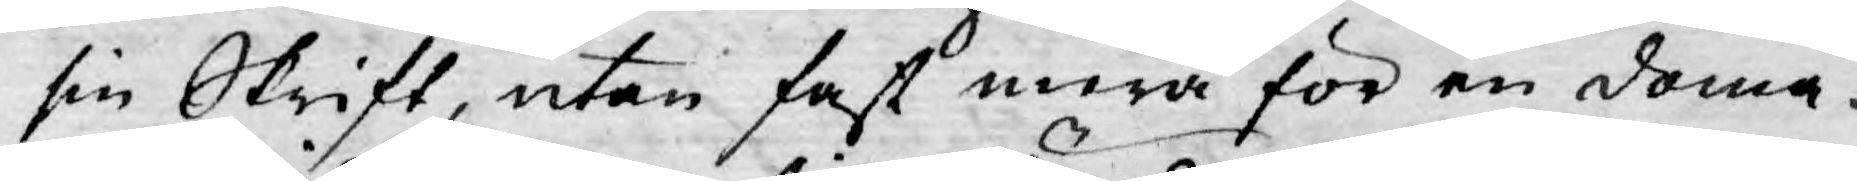sin Skrift, utan fast mera för en doma¬
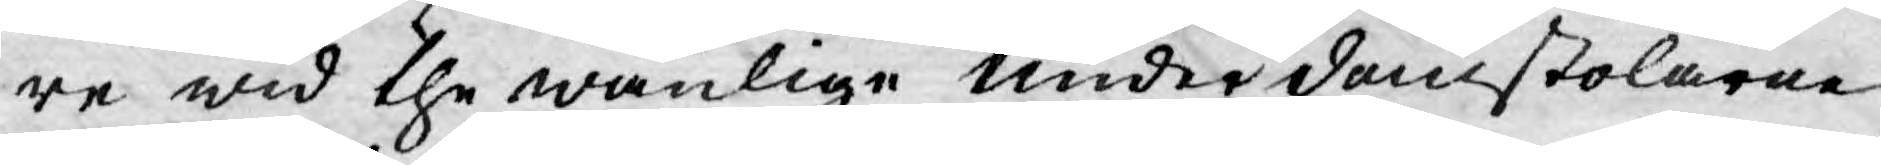re wid the wanlige Underdomstolarne
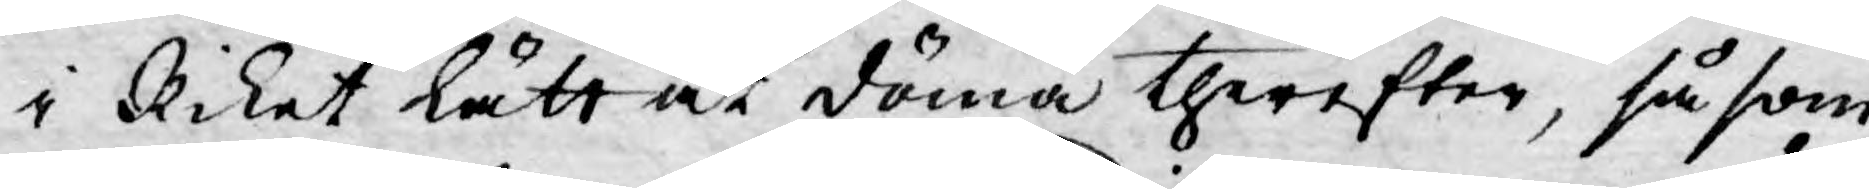i Riket lätt at döma therefter, såsom
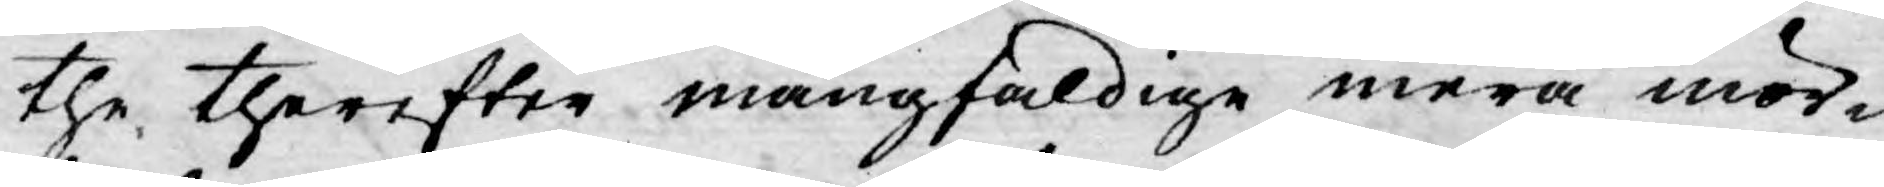the therefter mångfaldige mera mör¬
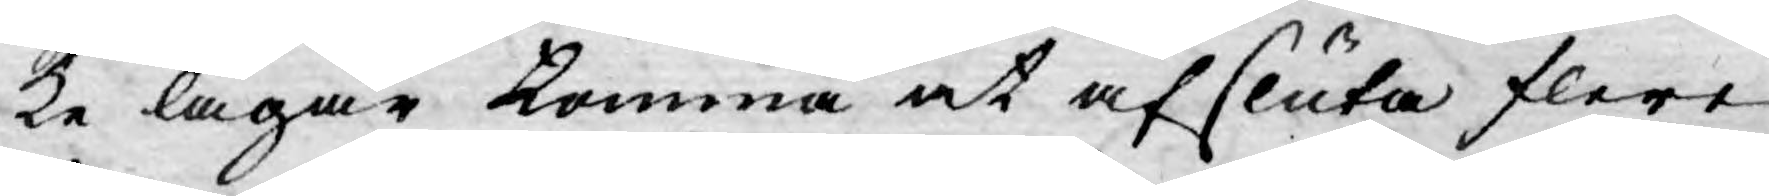ke lagar komma at afsluta flere
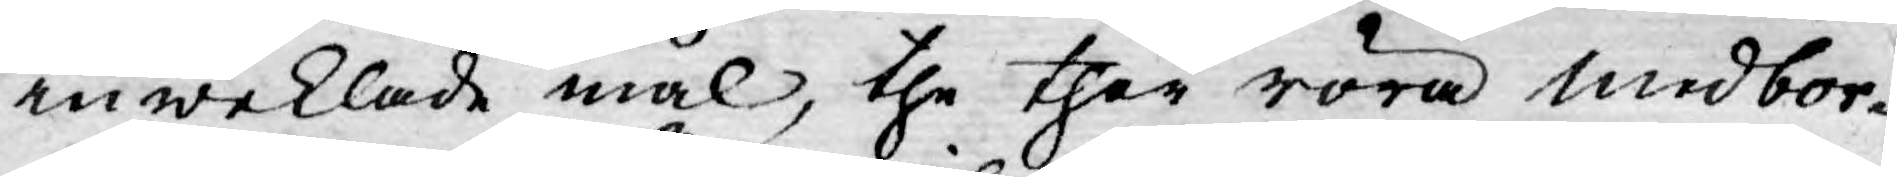inweklade mål, the ther röra medbor¬
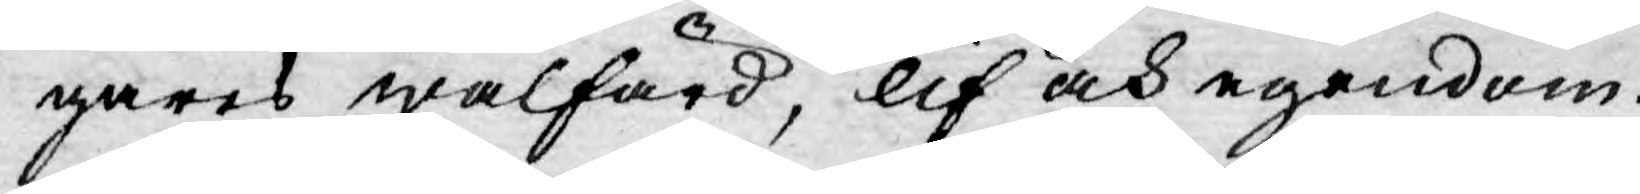gares wälfärd, lif och egendom.
